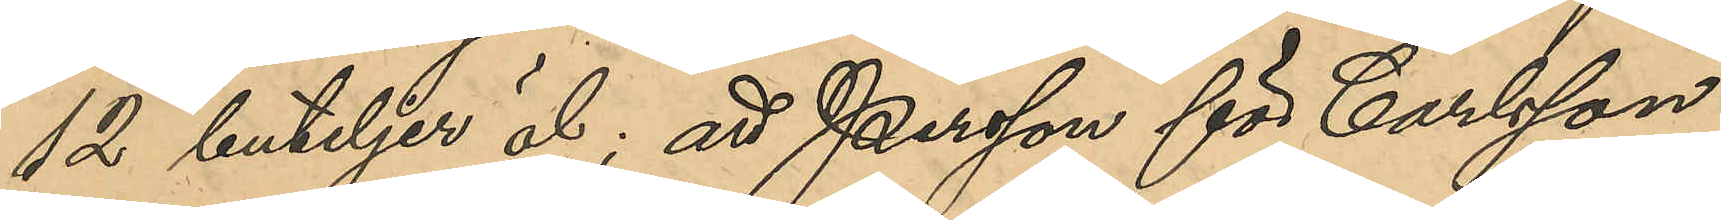12 buteljer öl; att Persson för Carlsson
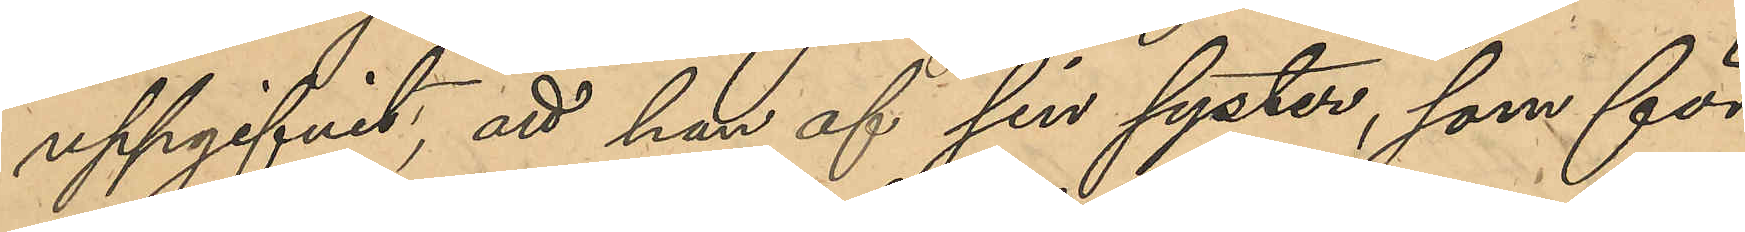uppgifvit; att han af sin syster, som för
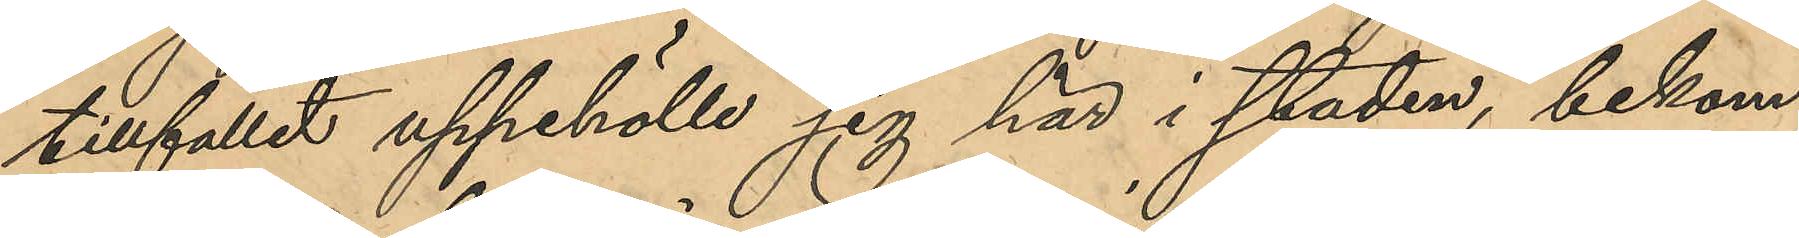tillfället uppehölle sig här i staden, bekom¬
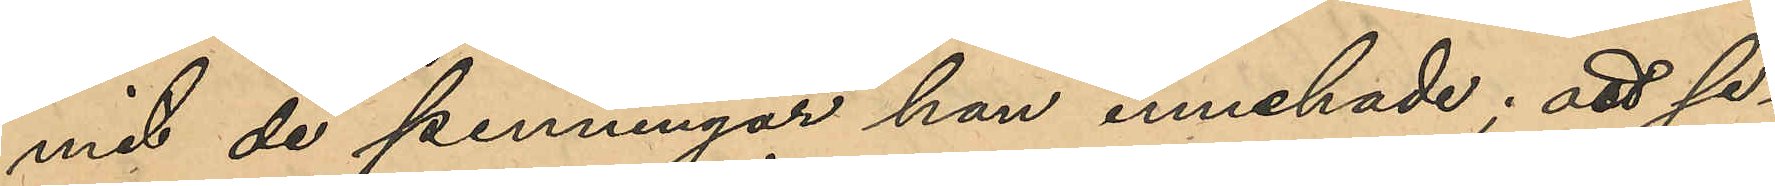mit de penningar han innehade; att se¬
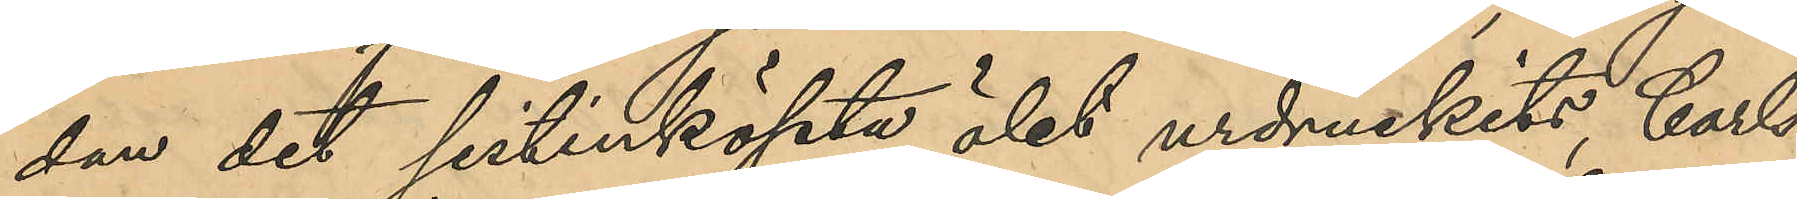dan det sistinköpta ölet urdruckits, Carls¬
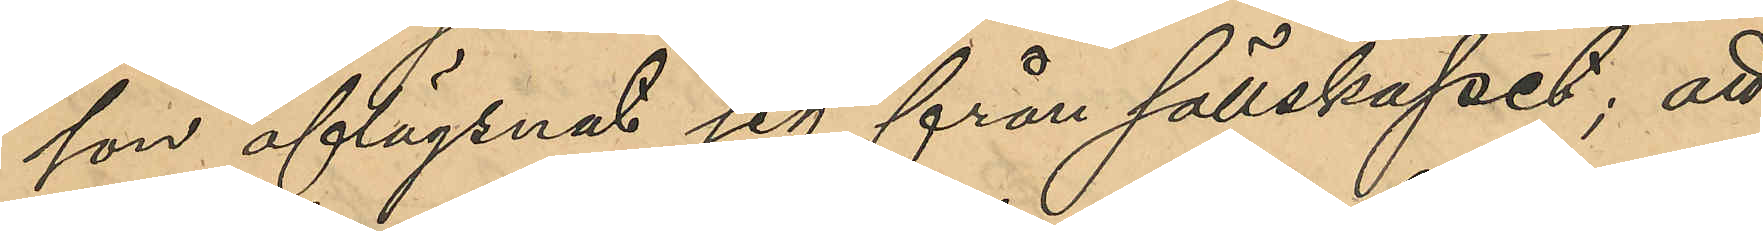son aflägsnat sig från sällskapet; att
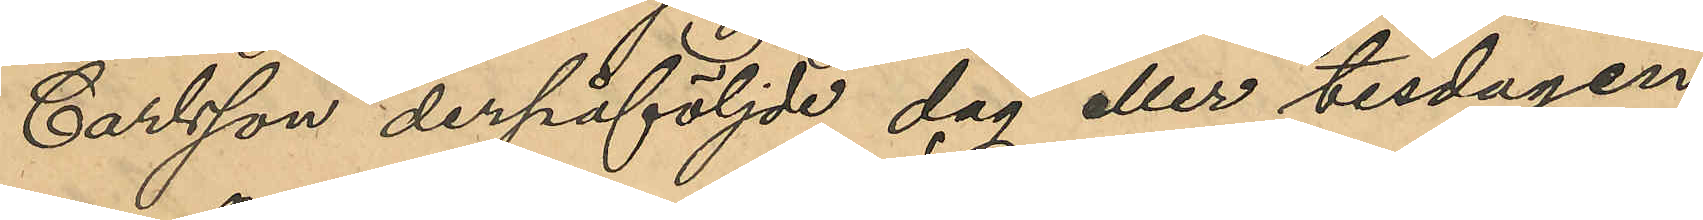Carlsson derpåföljde dag eller tisdagen
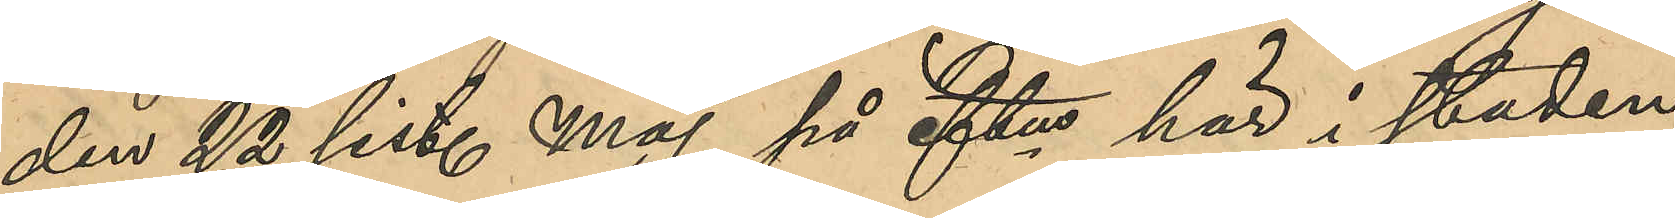den 22 sist. Maj på eftm här i staden
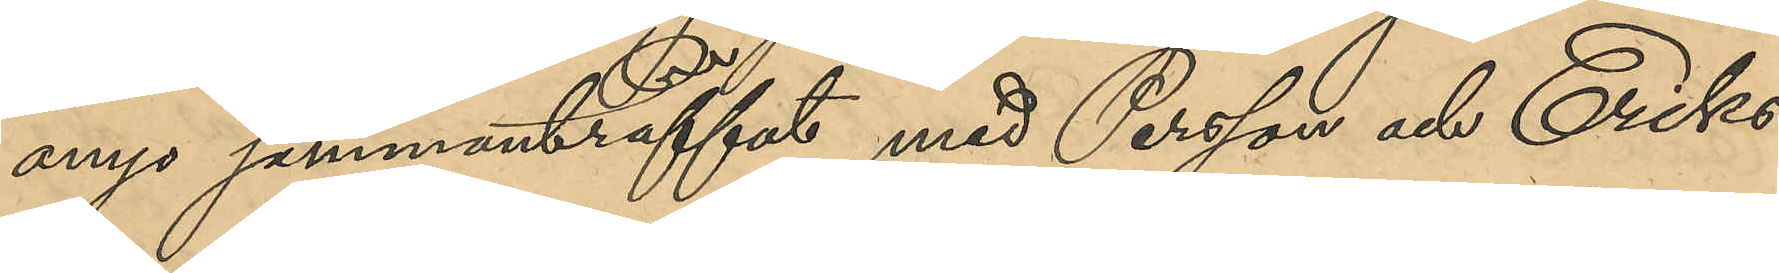ånyo sammanträffat med Persson och Eriks¬
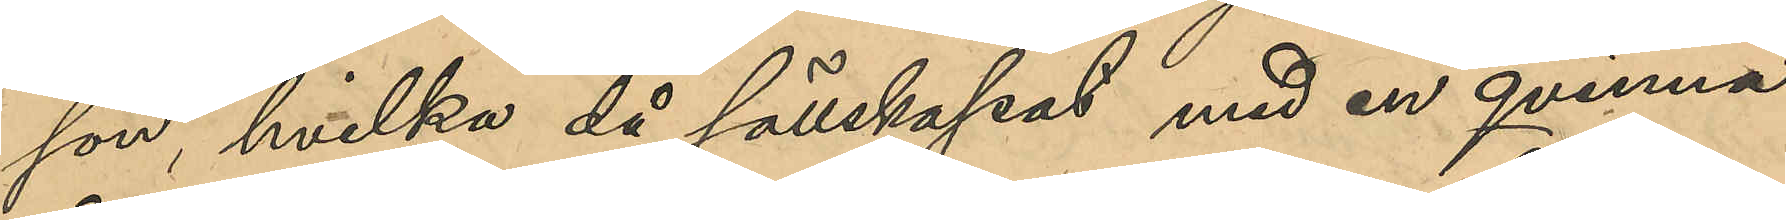son, hvilka då sällskapat med en qvinna
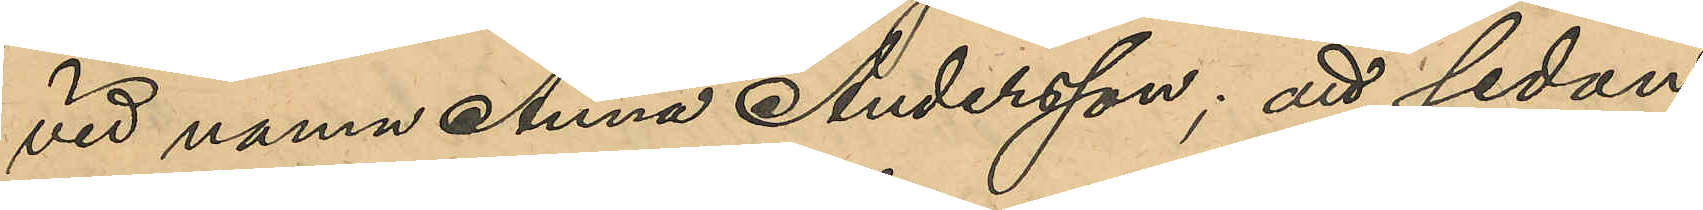vid namn Anna Andersson; att sedan
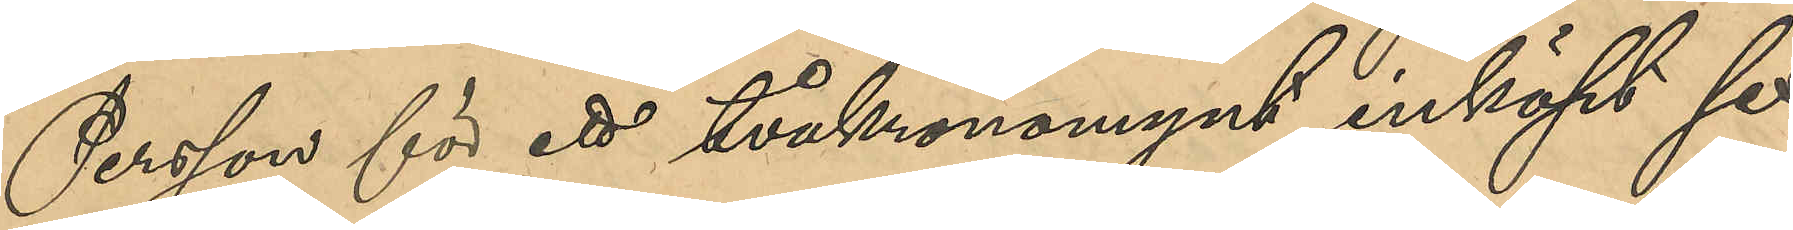Persson för ett tvåkronomynt inköpt sex
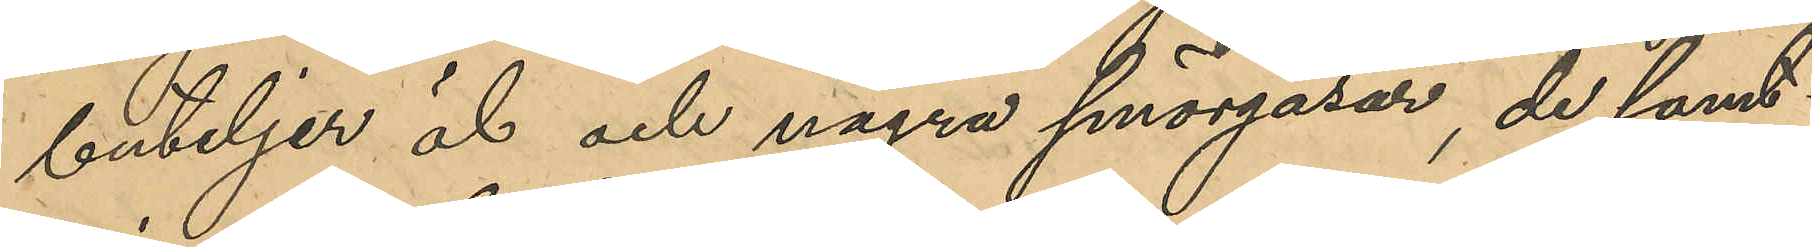buteljer öl och några smörgåsar, de samt¬
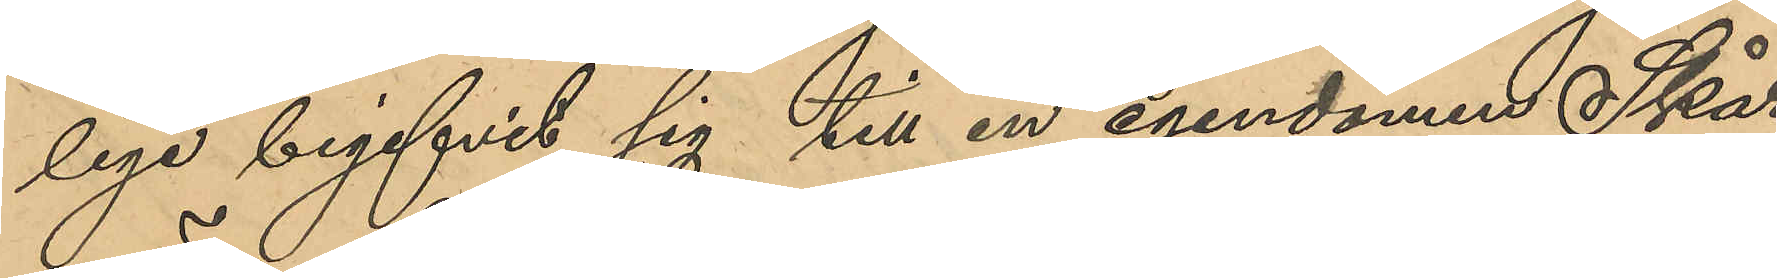lige begifvit sig till en egendomen Skår
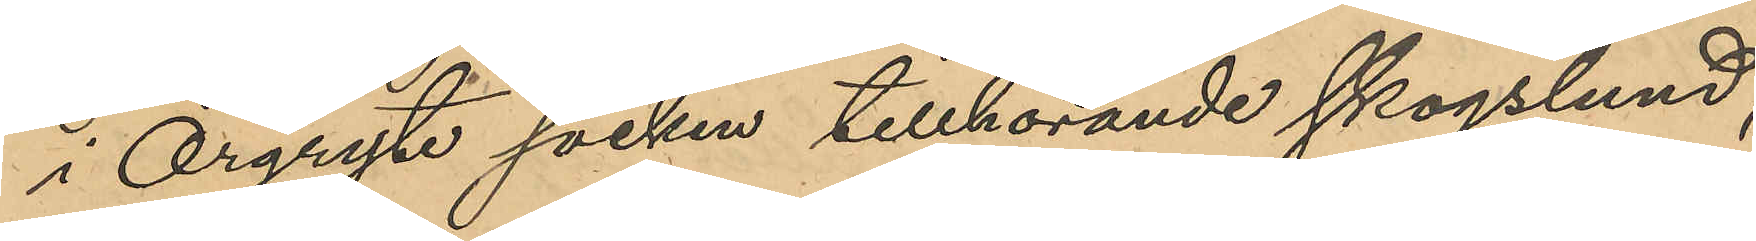i Örgryte socken tillhörande skogslund;
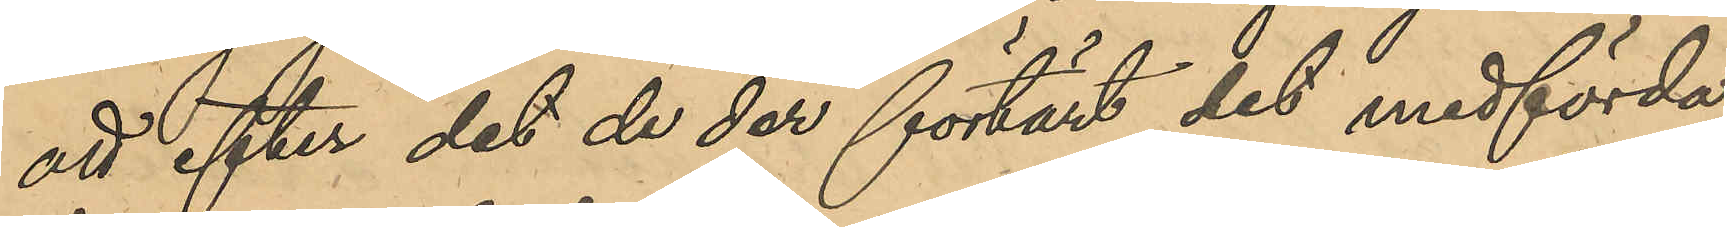att efter det de der förtärt det medförda
